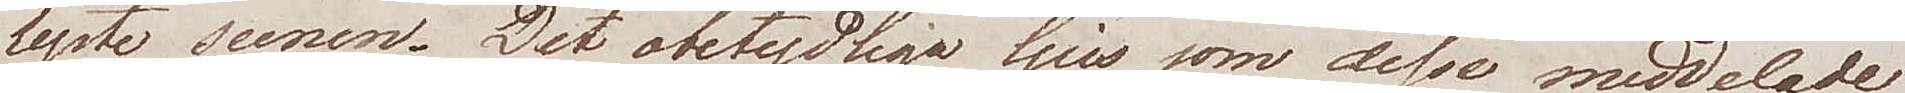lyste scenen. Det obetydliga ljus som desse meddelade
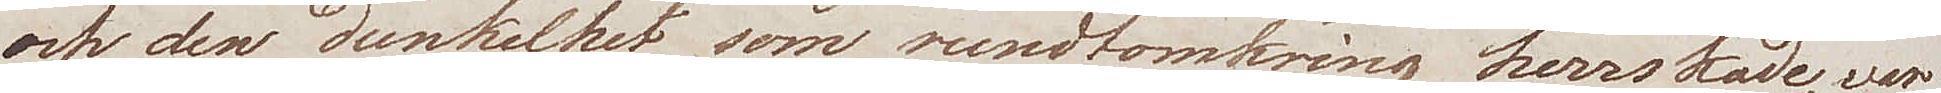och den dunkelhet som rundtomkring herrskade, war
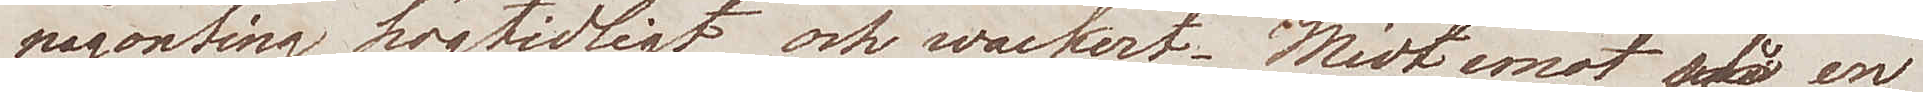någonting högtidligt och wackert. Midtemot på  en
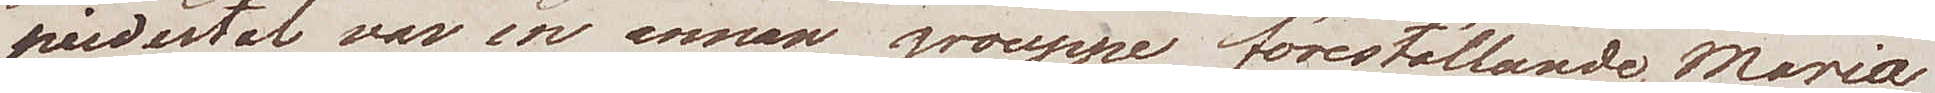piedestal var en annan grouppe föreställande Maria
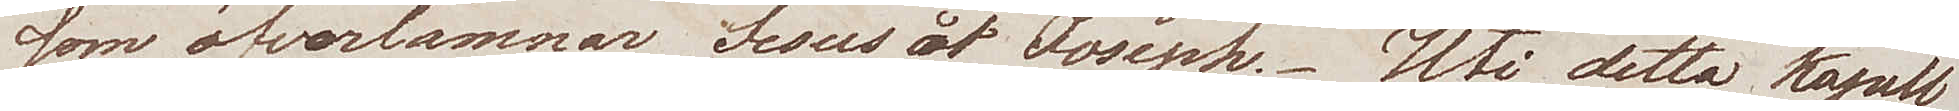som öfverlämnar Jesus åt Joseph. Uti detta kapell
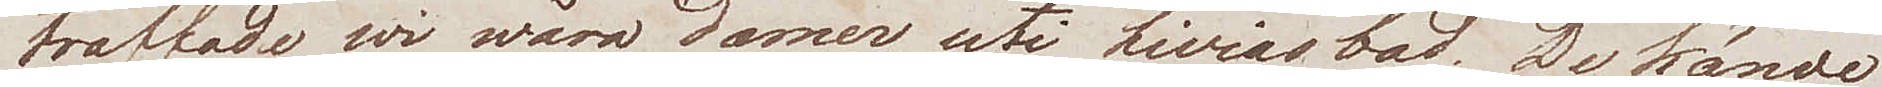träffade wi wåra damer, uti Livias bad. De kände
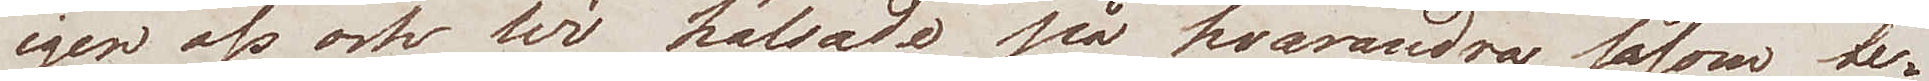igen oss och wi hälsade på hvarandra såsom be¬
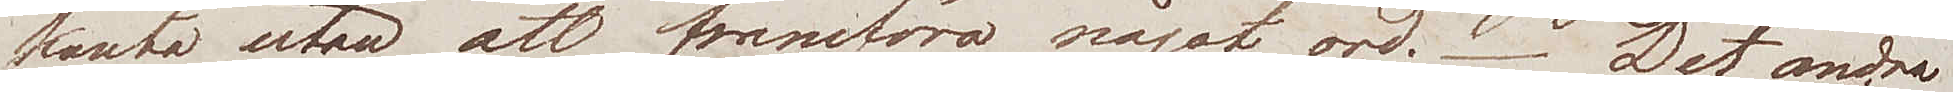kanta utan att framföra något ord. Det andra
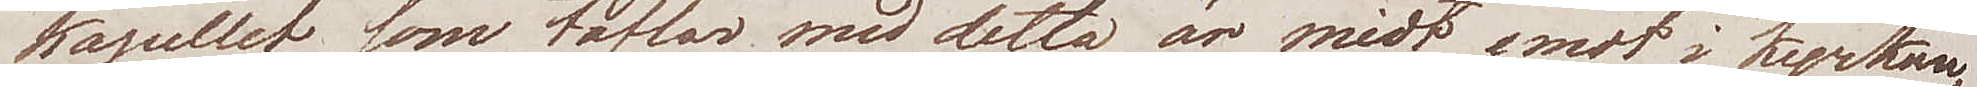kapellet som täflar med detta är midt emot i kyrkan,
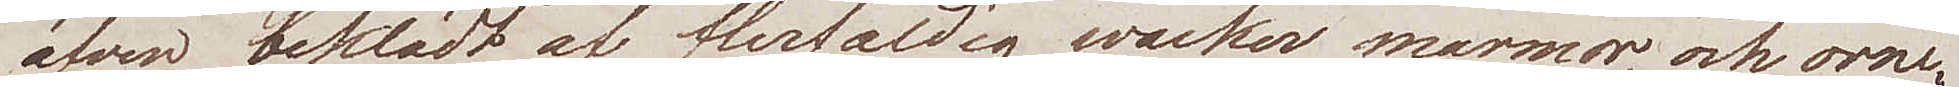äfven beklädt af flerfaldig wacker marmor, och orne¬
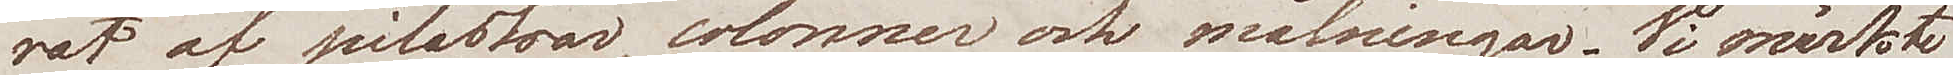rat af pilastrar, colonner och målningar. Vi märkte
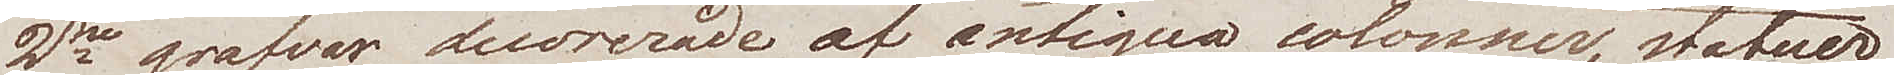2ne grafvar, decorerade af antiqua colonner, statuer
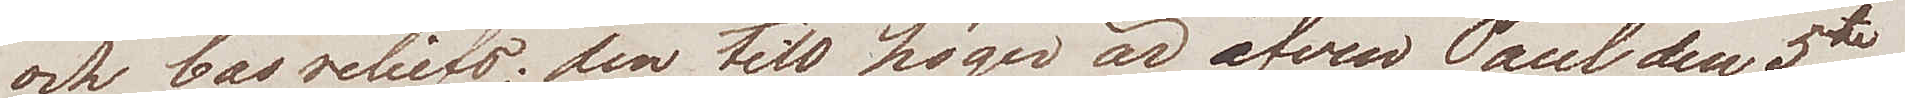och bas reliefs; den till höger är äfven Paul den 5te
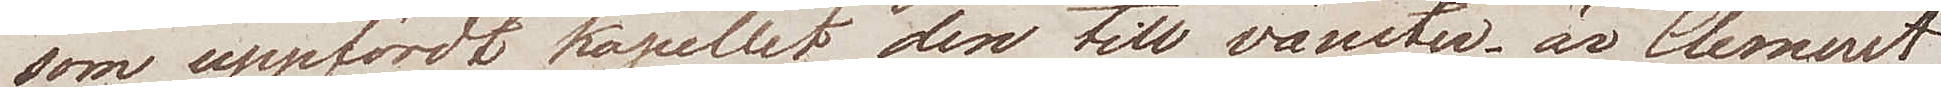som uppfördt kapellet, den till vänster är Clement
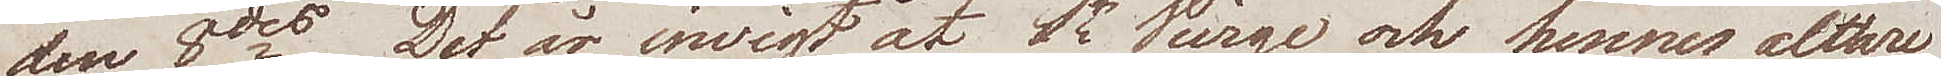den 8des. Det är  invigt åt St Vierge och hennes altare
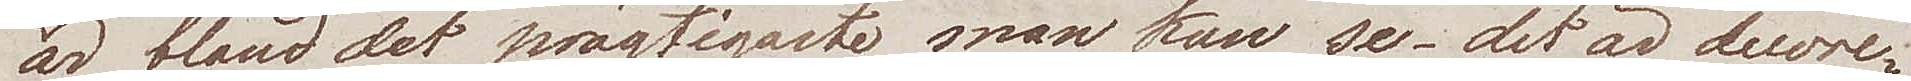är bland det prägtigaste man kan se, det är decore¬
